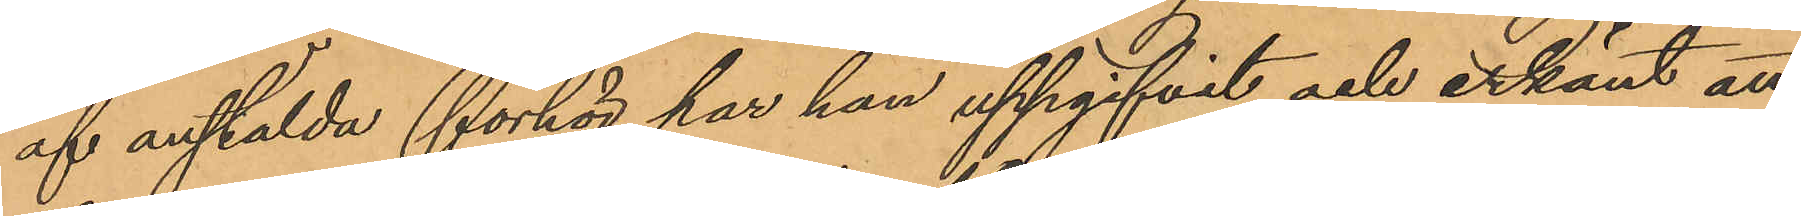af anstälda förhör har han uppgifvit och erkänt att
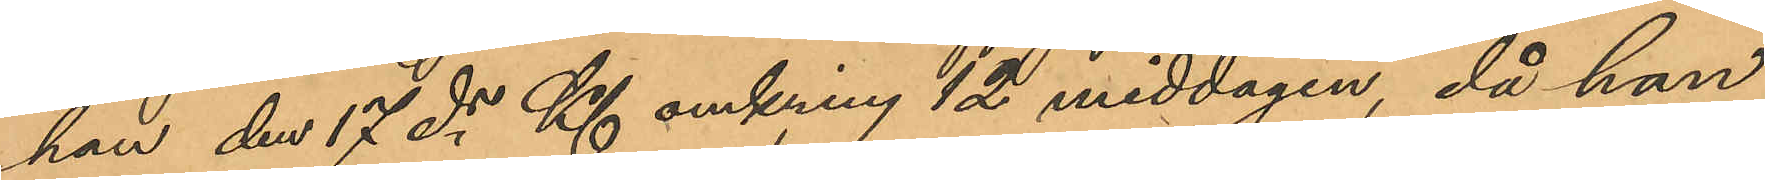han den 17 ds Kl omkring 12 middagen, då han
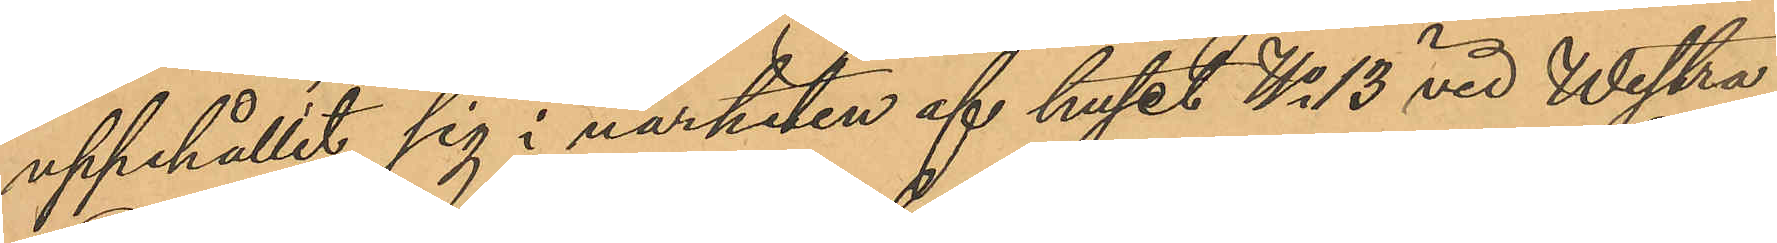uppehållit sig i närheten af huset No 13 vid Westra
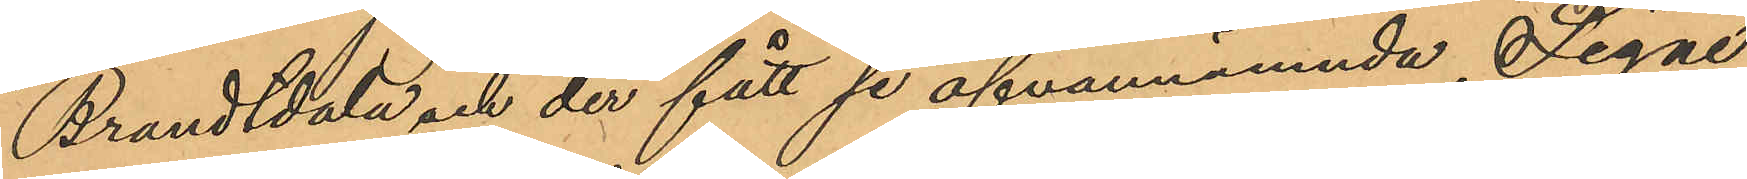Brandtdala och der fått se ofvannämnda Signe
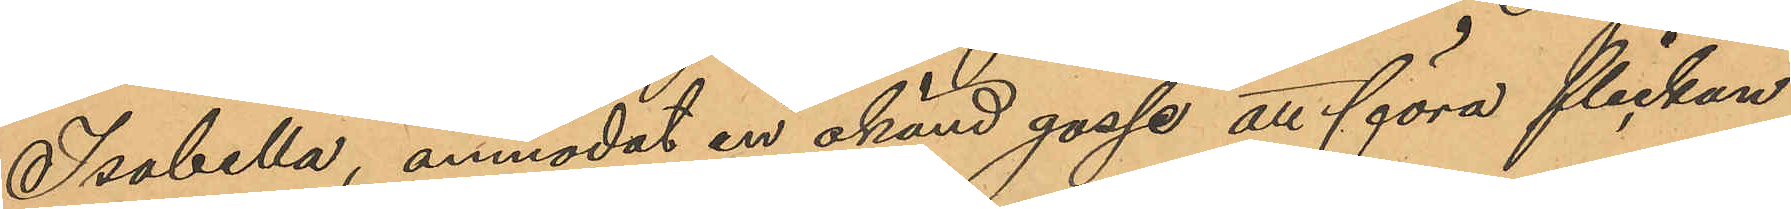Isabella, anmodat en okänd gosse att föra flickan
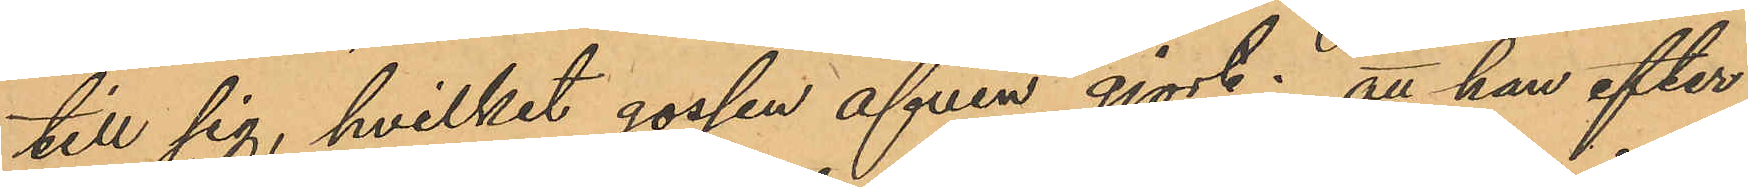till sig, hvilket gossen äfven gjort; att han efter
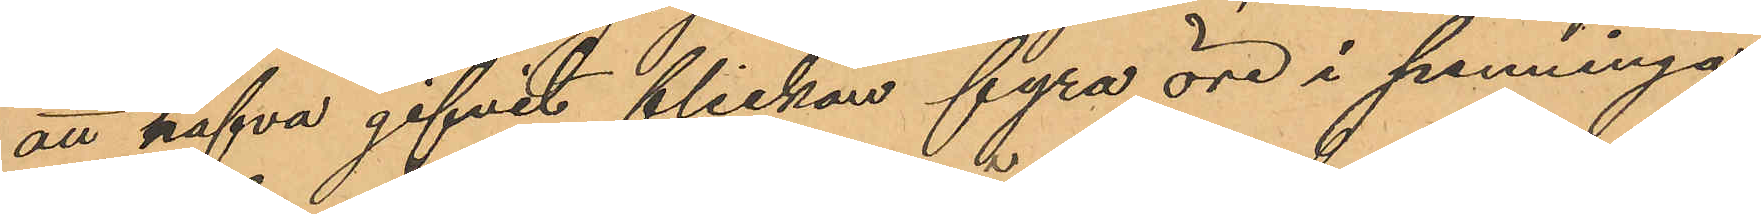att hafva gifvit flickan fyra öre i penningar
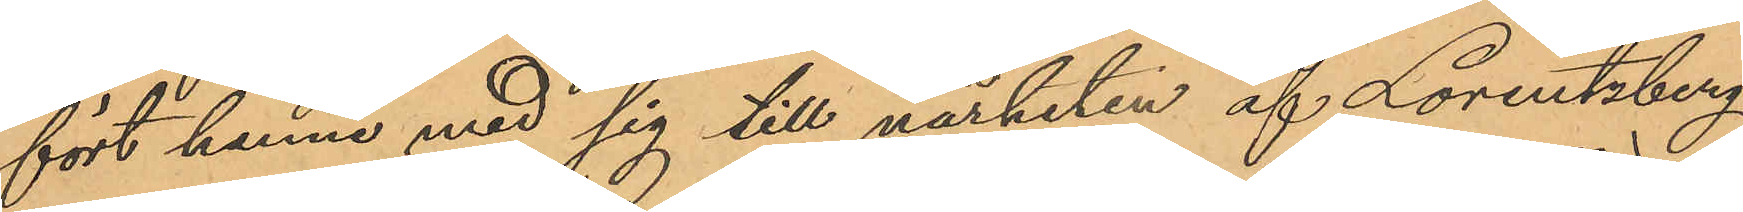fört henne med sig till närheten af Lorentzberg,
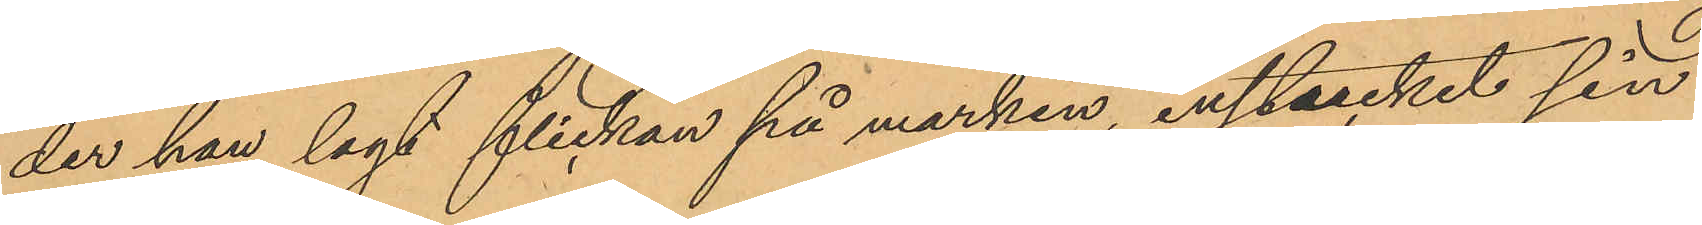der han lagt flickan på marken, instuckit sin
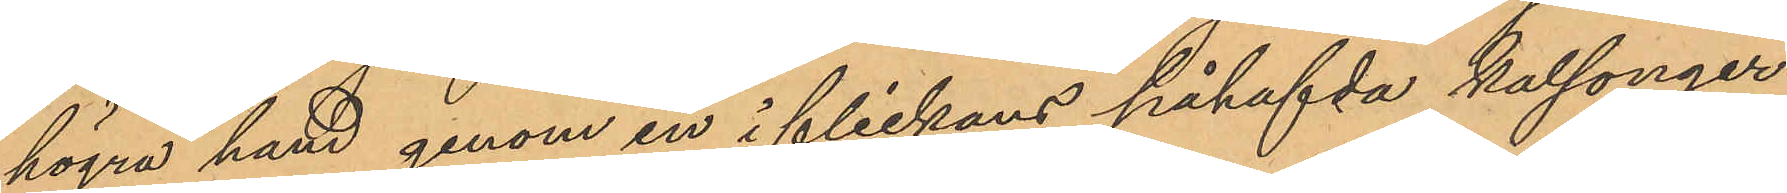högra hand genom en i flickans påhafvda kalsonger
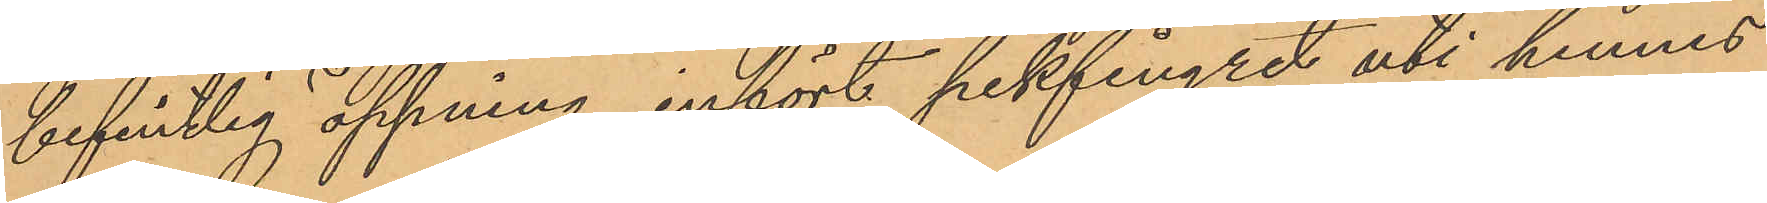befintlig öppning, infört pekfingret uti hennes
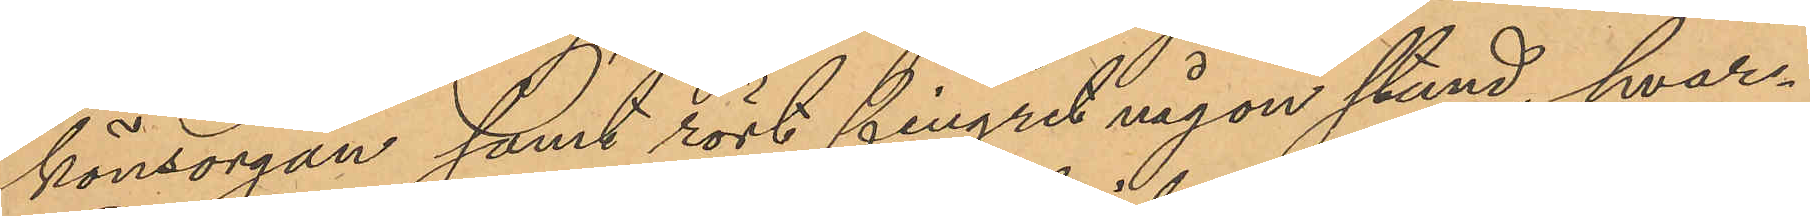könsorgan samt rört fingret någon stund, hvar¬
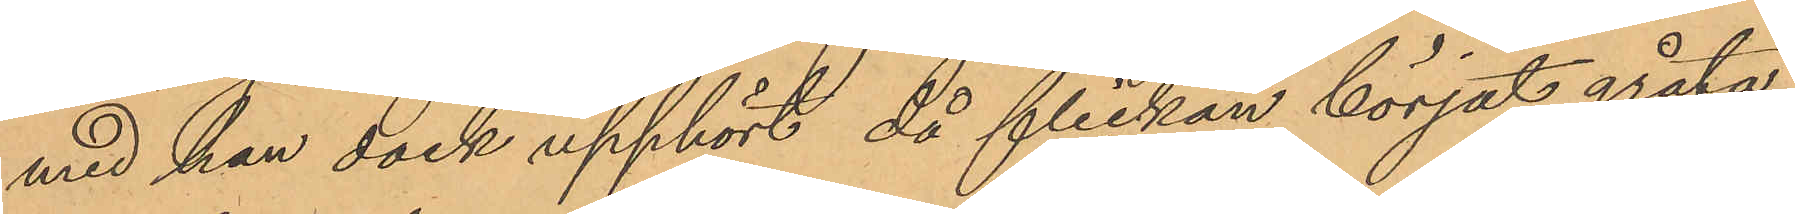med han dock upphört, då flickan börjat gråta;
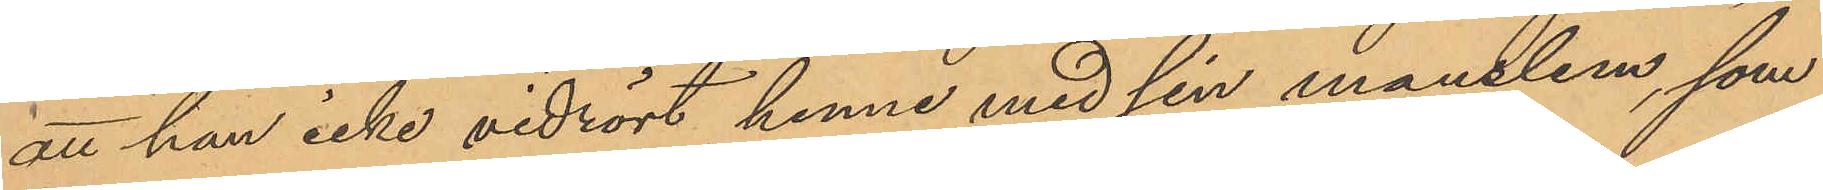att han icke vidrört henne med sin manslem, som
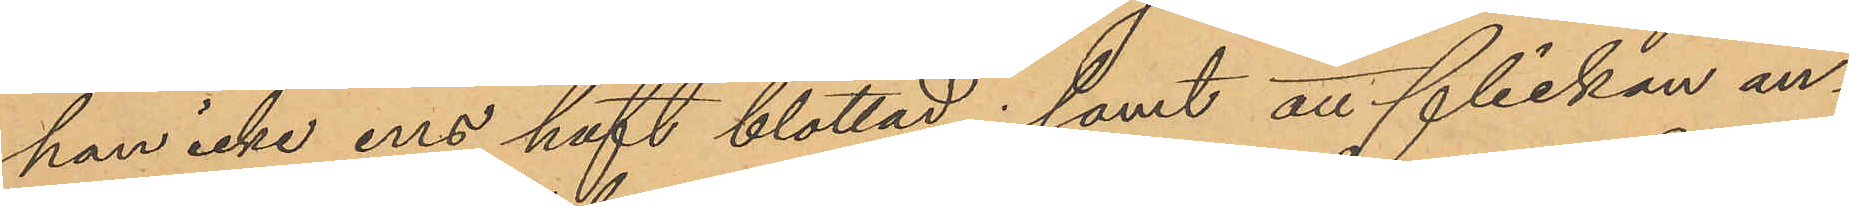han icke ens haft blottad; samt att flickan an¬
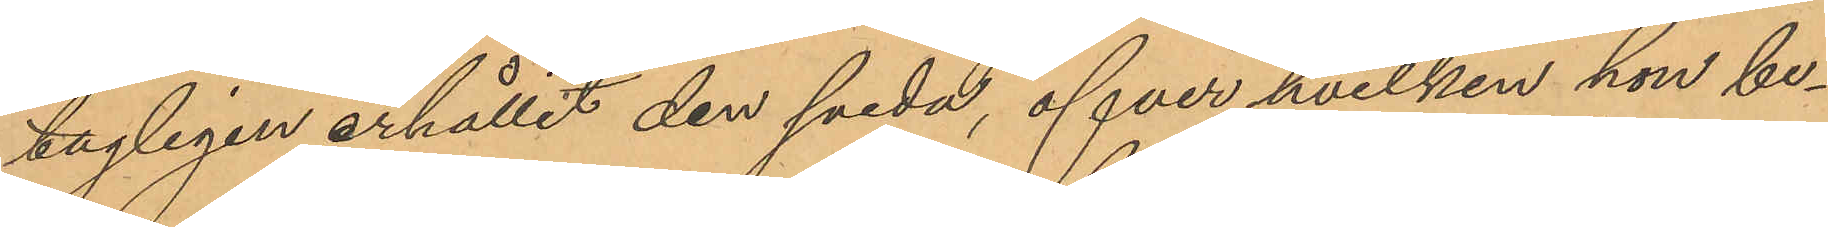tagligen erhållit den sveda, öfver hvilken hon be¬
